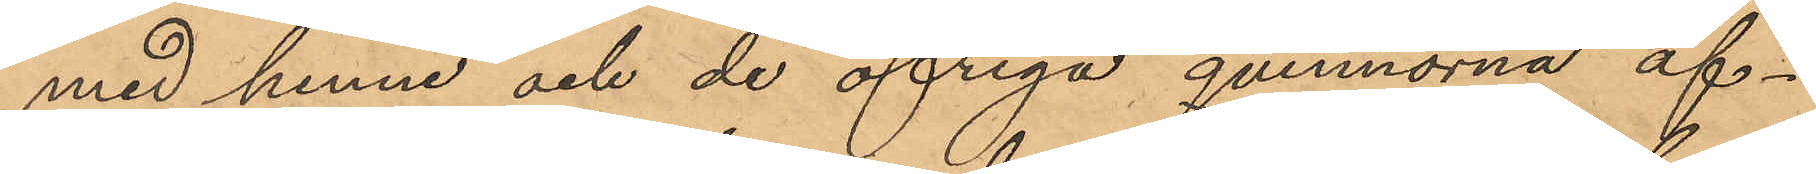med henne och de öfriga qvinnorna af¬
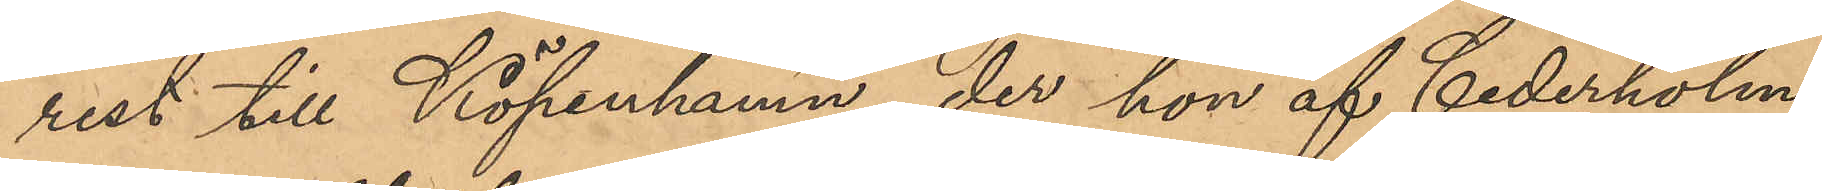rest till Köpenhamn, der hon af Cederholm,
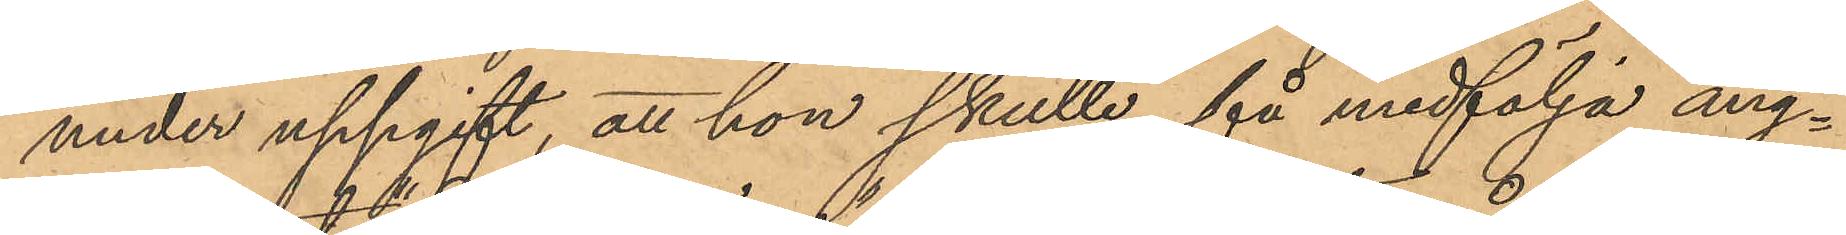under uppgift, att hon skulle få medfölja ång¬
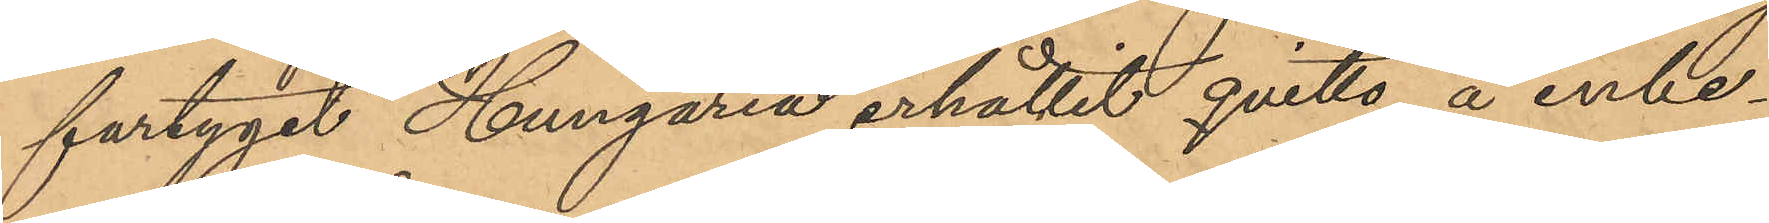fartyget Hungaria erhållit qvitto å inbe¬
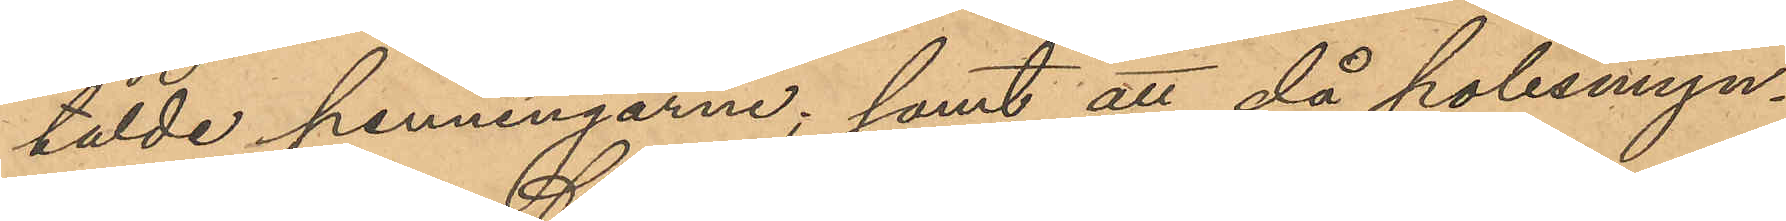talde penningarne, samt att då polismyn¬
